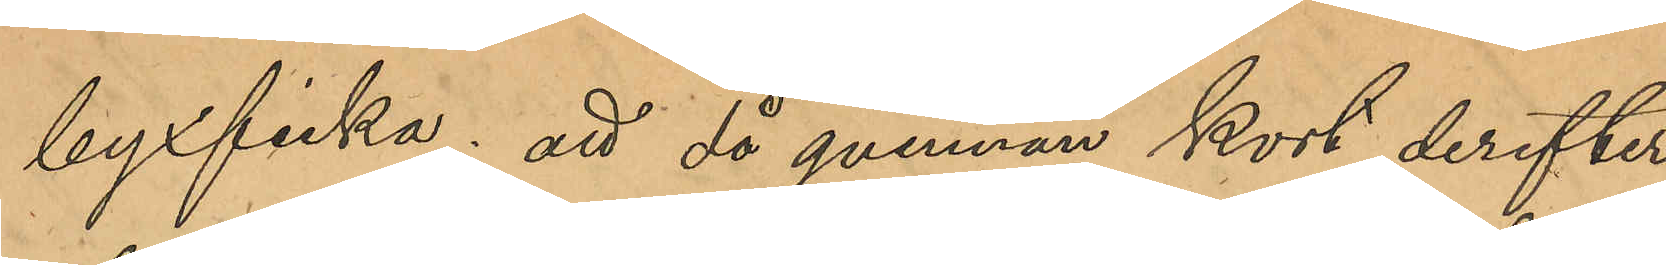byxficka; att då qvinnan kort derefter
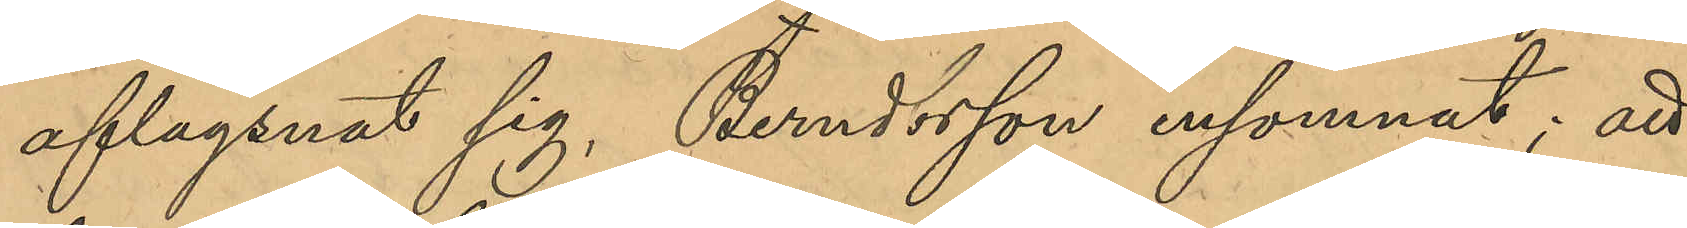aflägsnat sig, Berndtsson insomnat; att
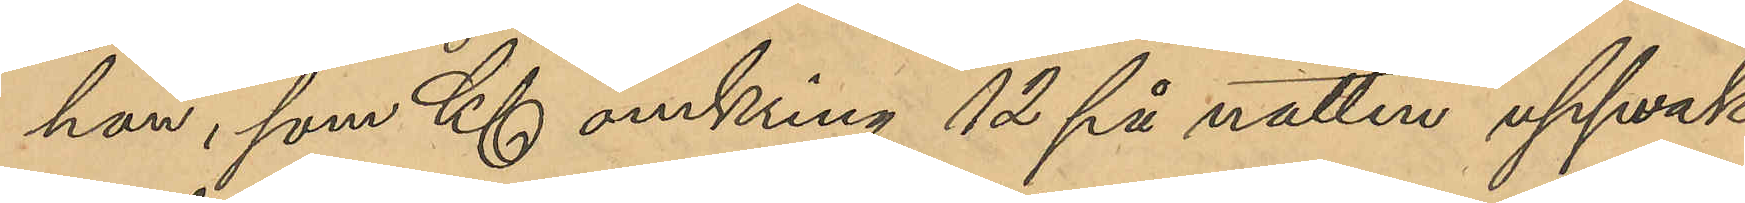han, som Kl omkring 12 på natten uppvak¬
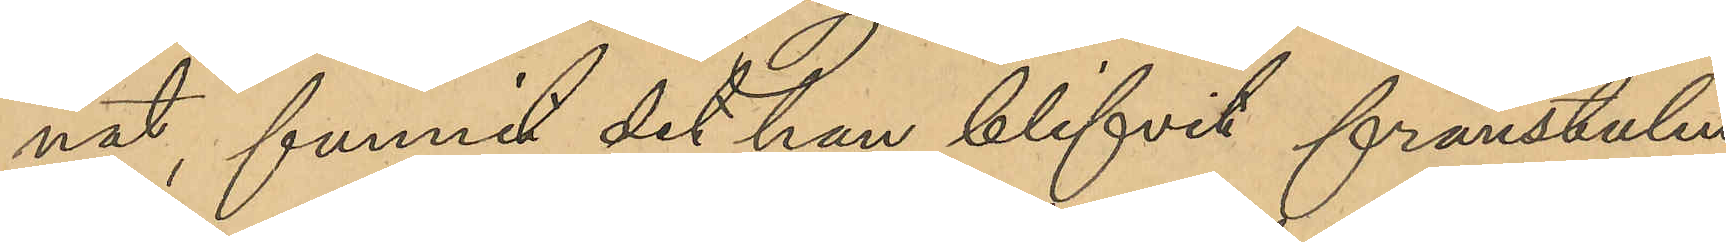nat, funnit det han blifvit frånstulen
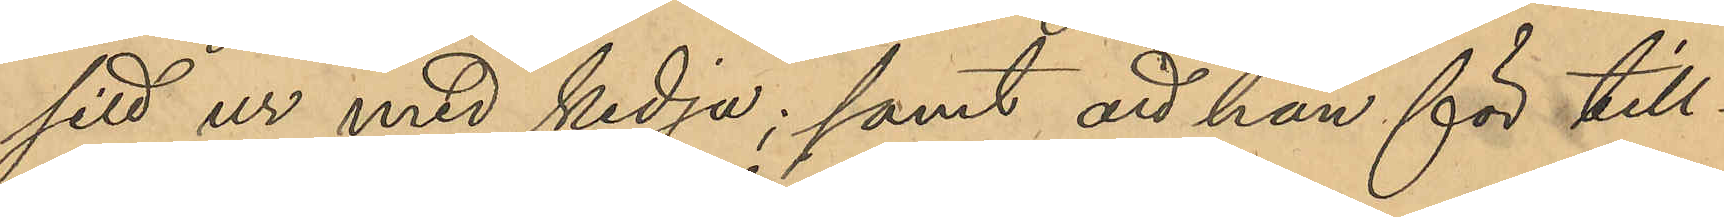sitt ur med kedja; samt att han för till¬
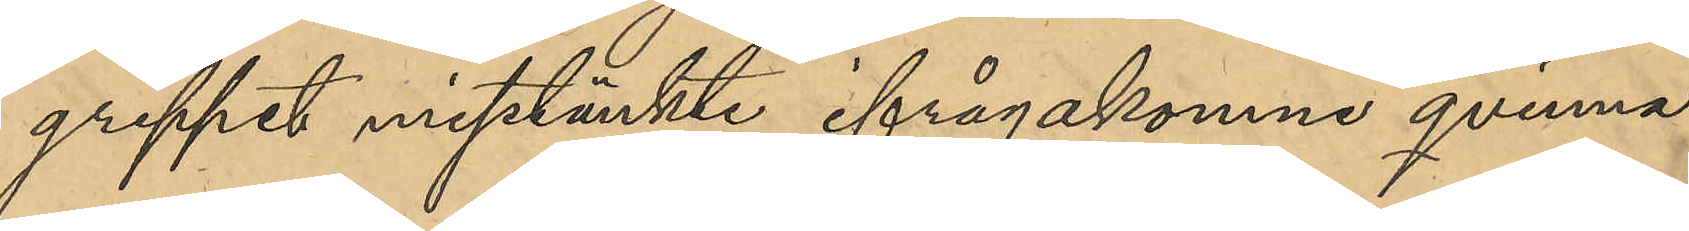greppet misstänkte ifrågakomne qvinna.
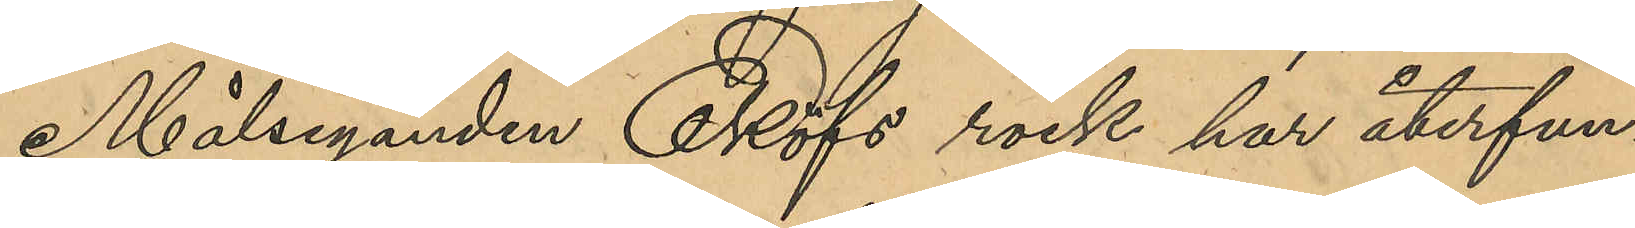Målseganden Eklöfs rock har återfun¬
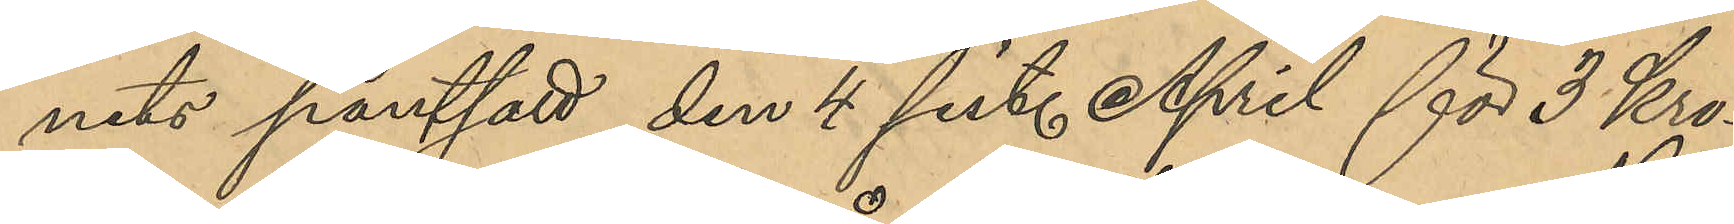nits pantsatt den 4 sist. April för 3 Kro¬
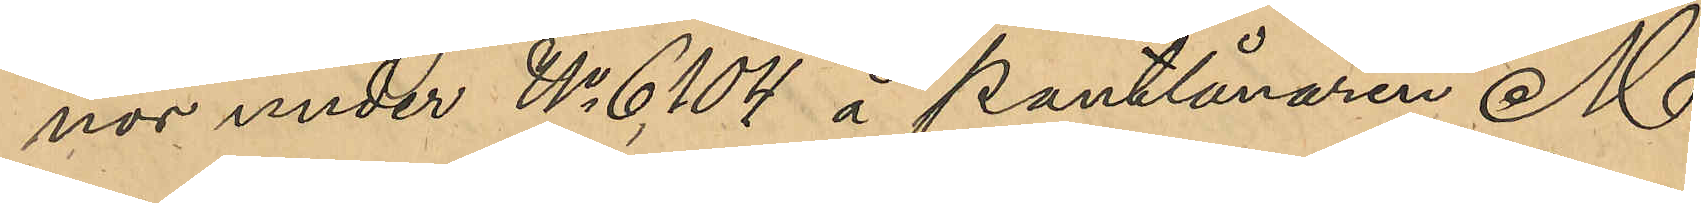nor under No 6,104 å Pantlånaren M
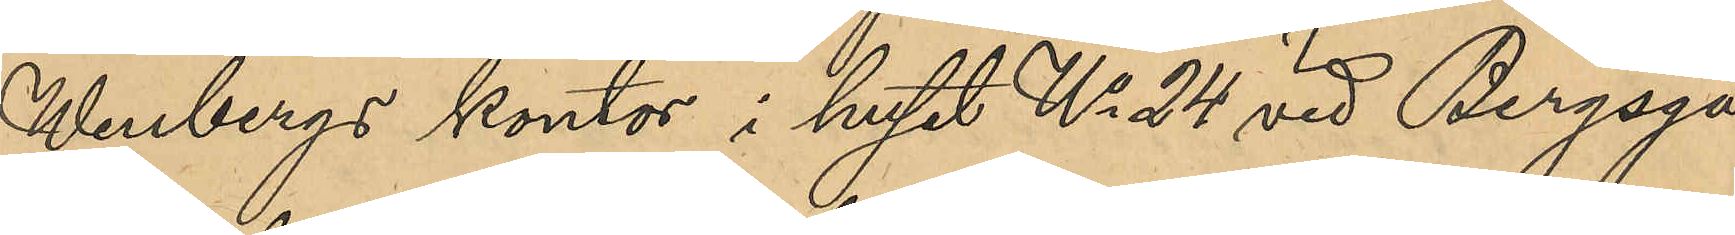Wenbergs kontor i huset No 24 vid Bergsga¬
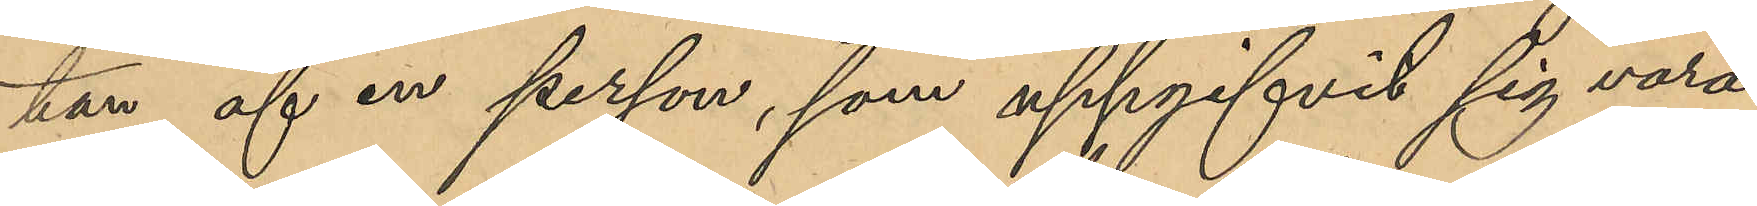tan af en person, som uppgifvit sig vara
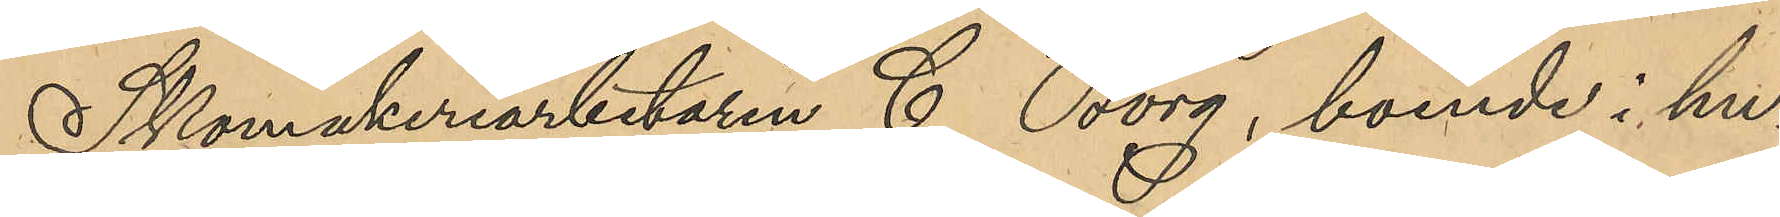Skomakeriarbetaren C Borg, boende i hu¬
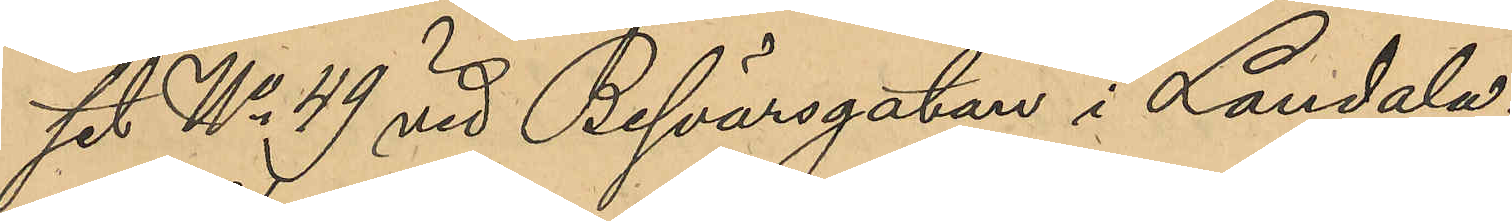set No 49 vid Besvärsgatan i Landala.
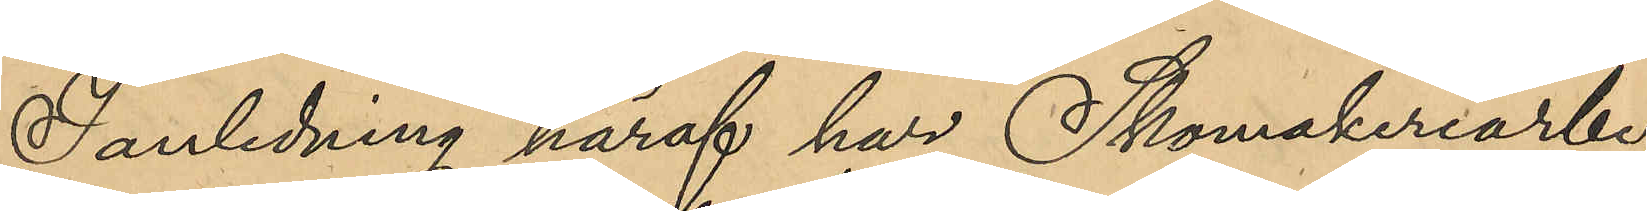I anledning häraf har Skomakeriarbe¬
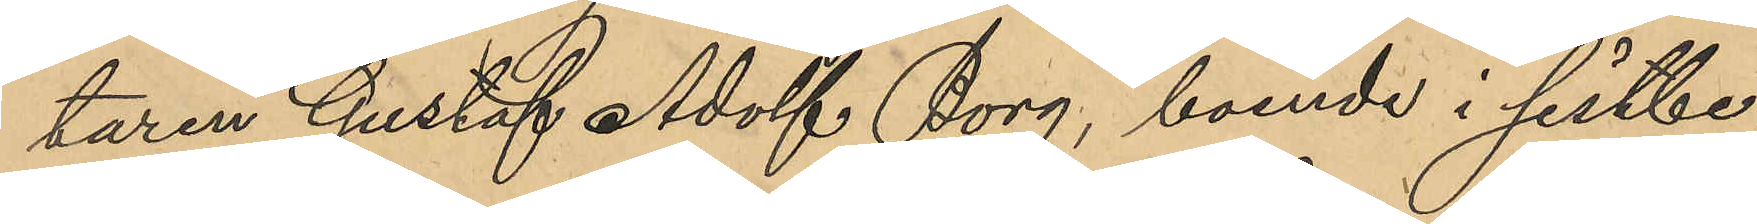taren Gustaf Adolf Borg, boende i sistbe¬
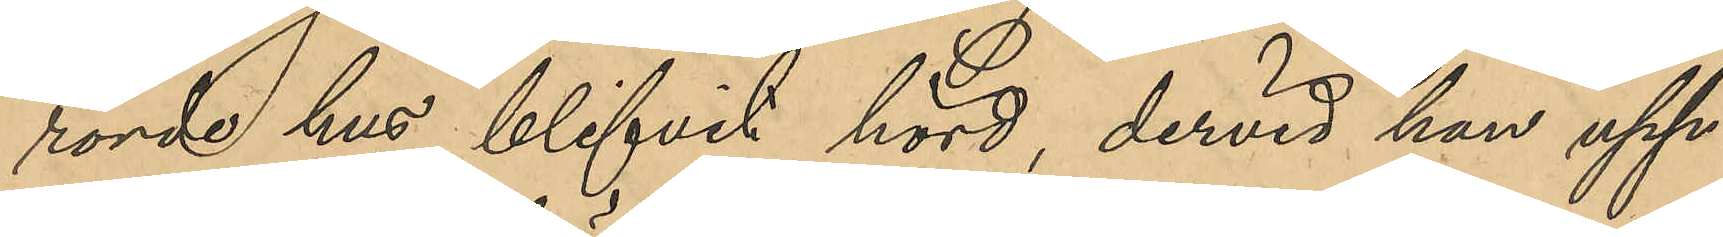rörde hus, blifvit hörd, dervid han upp¬
